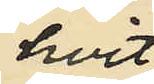hvit
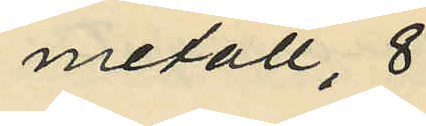metall, 8
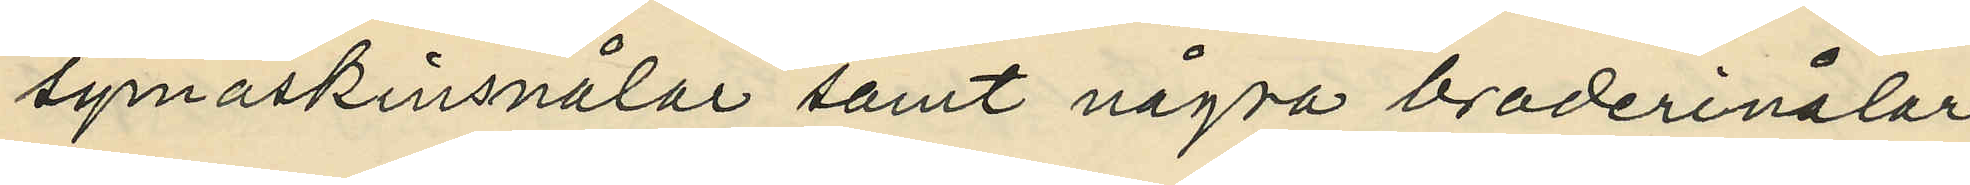symaskinsnålar samt några broderinålar
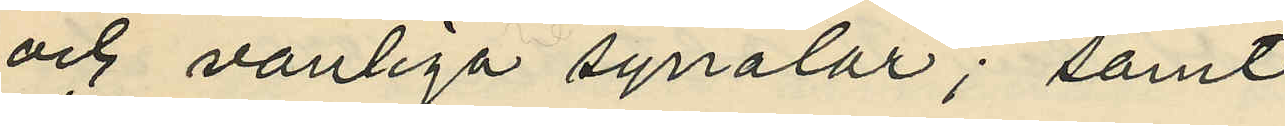och vanliga synålar; samt
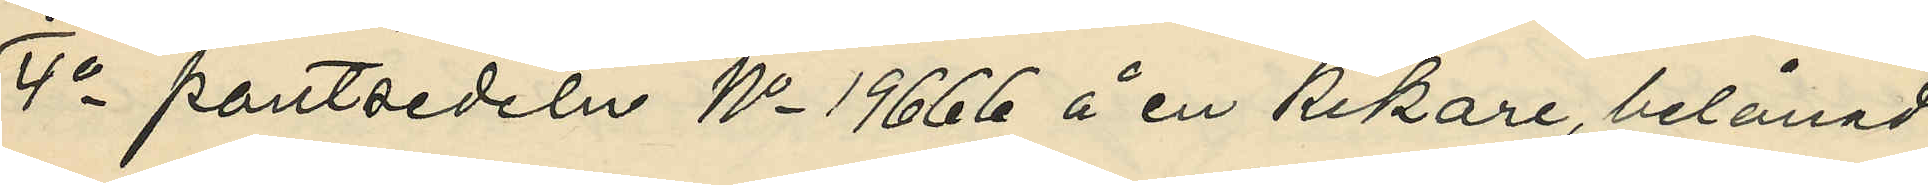4o pantsedeln No 19666 å en kikare, belånad
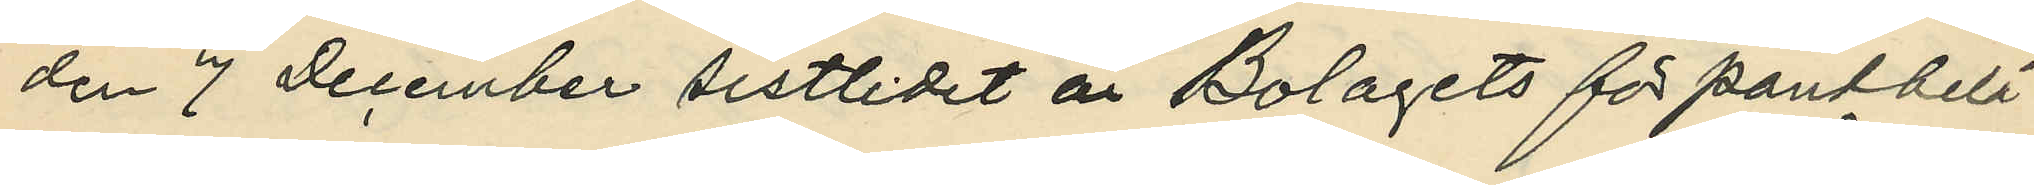den 7 December sistlidet år Bolagets för pantbelå¬
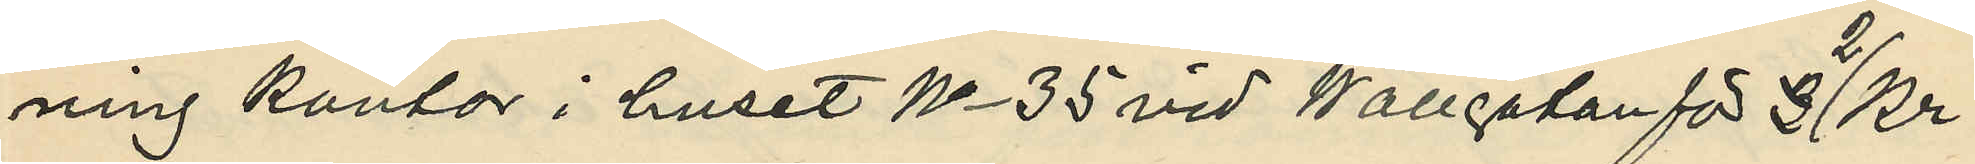ning kontor i huset No 35 vid Wallgatan för 3 2 kr.
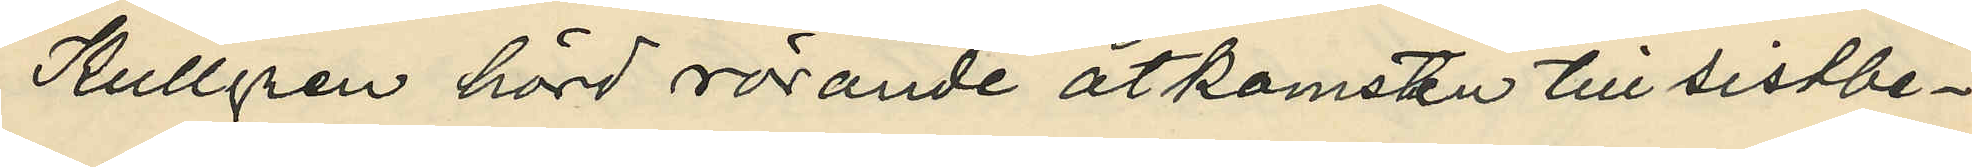Kullgren hörd rörande åtkomsten till sistbe¬
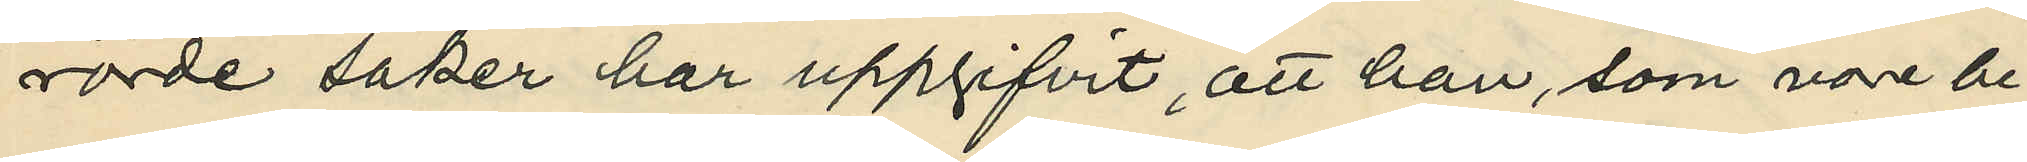rörde saker har uppgifvit, att han, som vore be¬
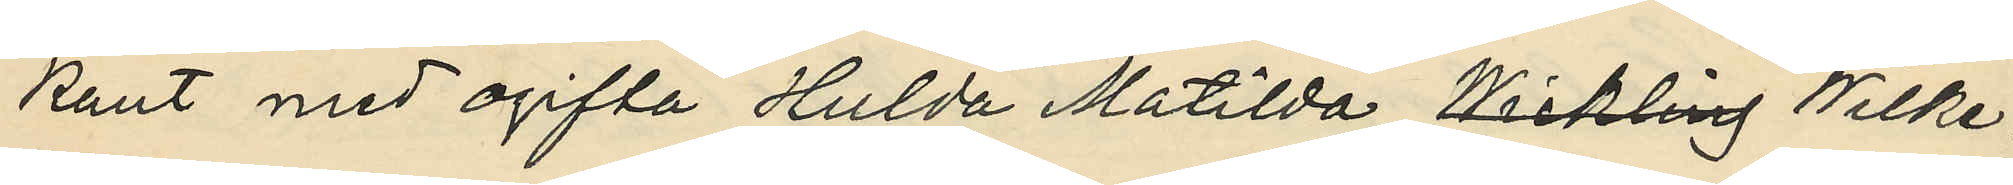kant med ogifta Hulda Matilda Wickling Wilke¬
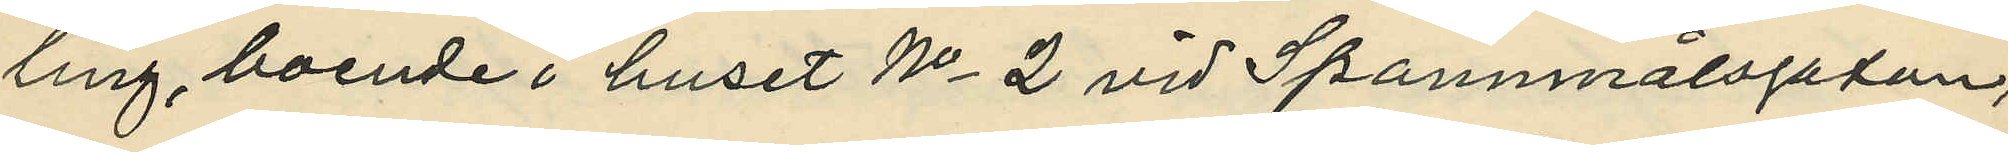ling, boende i huset No 2 vid Spannmålsgatan,
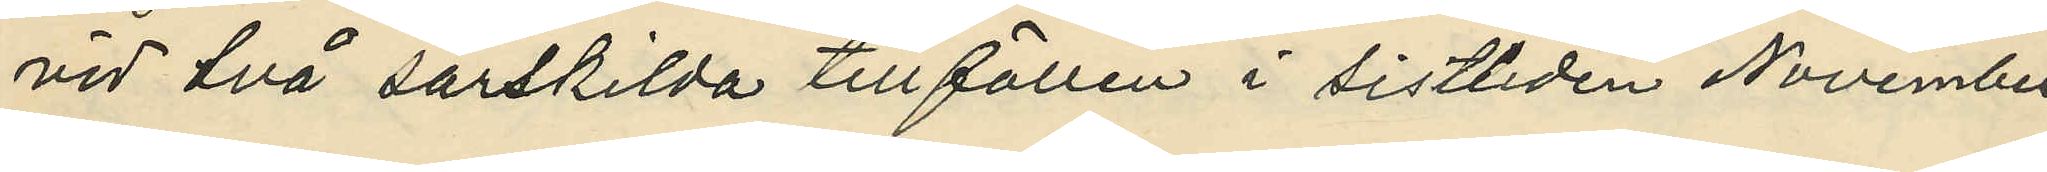vid två särskilda tillfällen i sistliden November
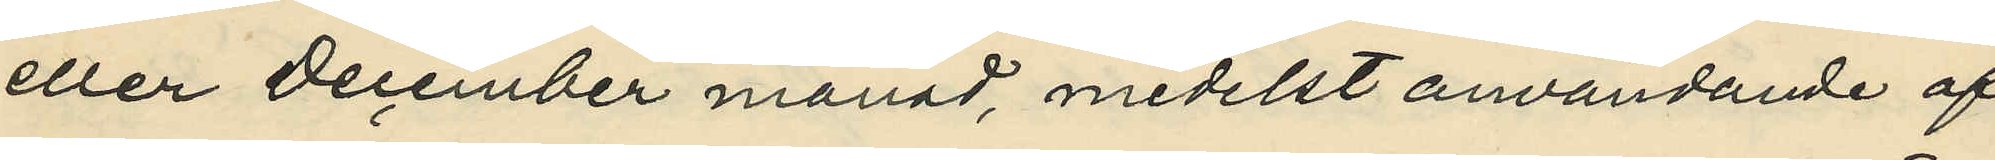eller December månad, medelst användande af
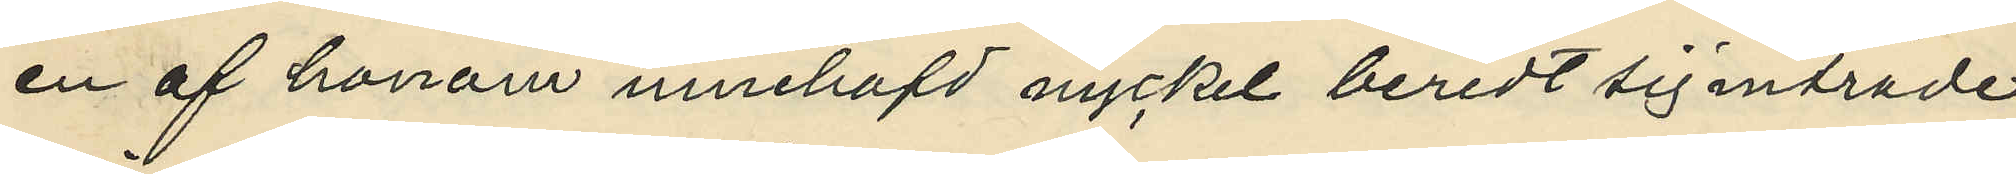en af honom innehafd nyckel beredt sig inträde
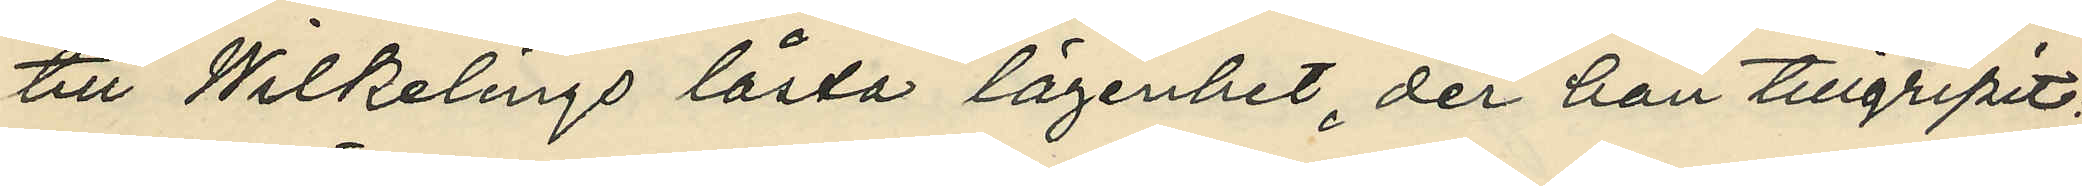till Wilkelings låsta lägenhet, der han tillgripit;
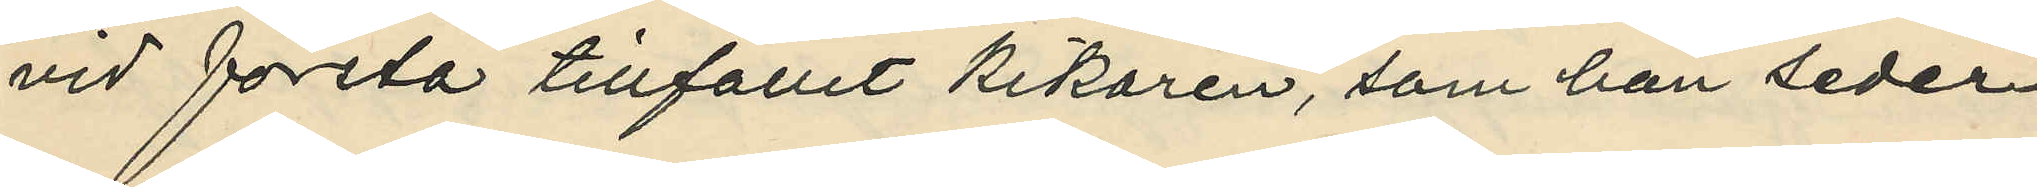vid första tillfället kikaren, som han seder¬
